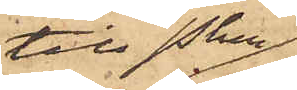till Pkn
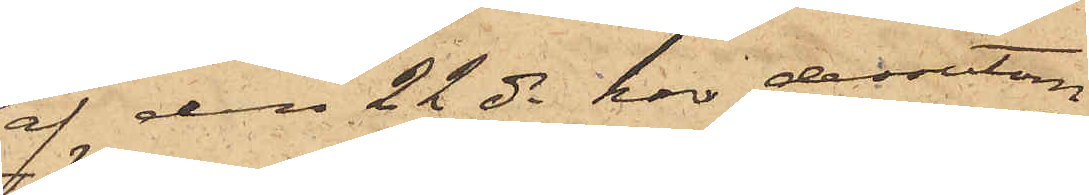af den 22 ds har dessutom
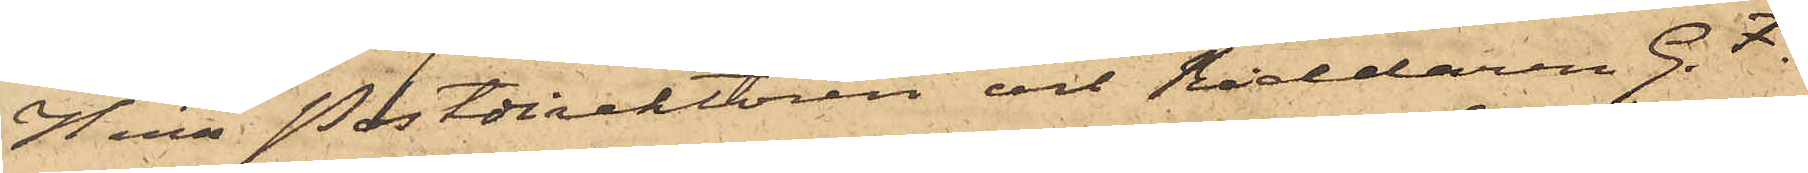Herr Postdirektören och Riddaren G. F.
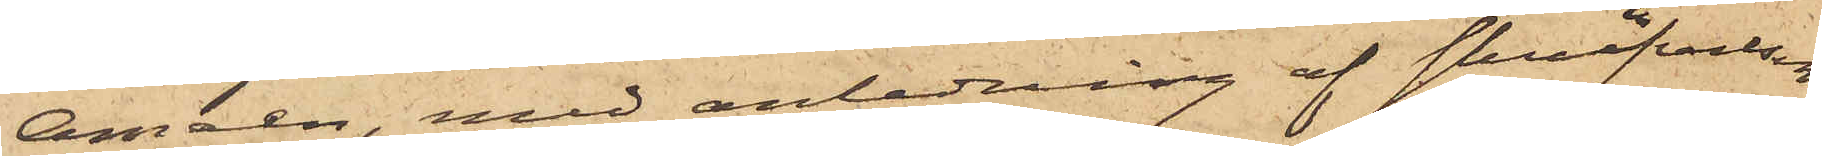Améen, med anledning af skrifvelsen
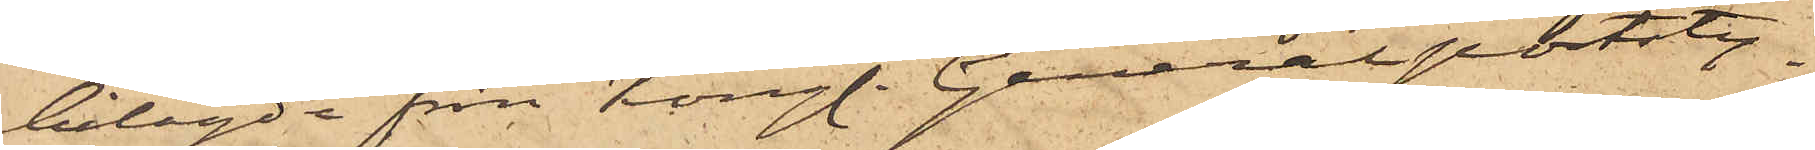bilagde från Kungl. Generalpoststy¬
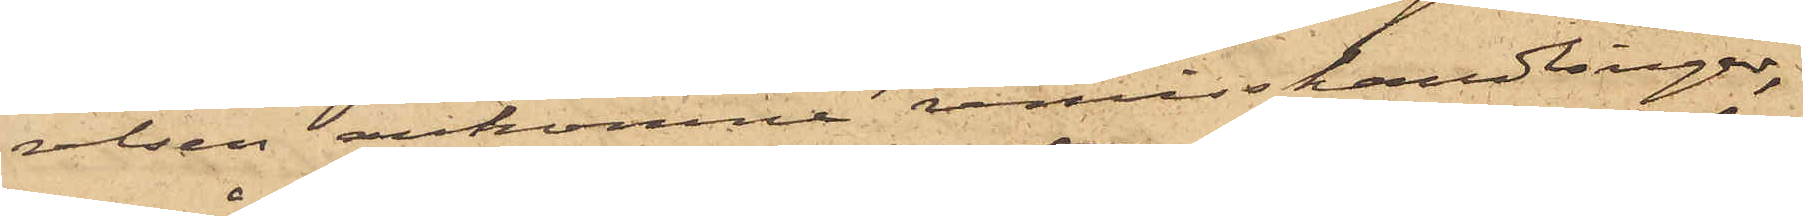relsen ankomne remisshandlingar,
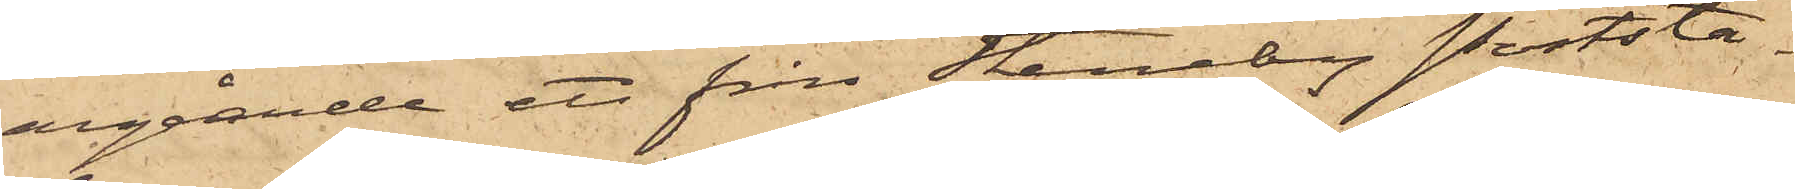angående ett från Steneby Poststa¬
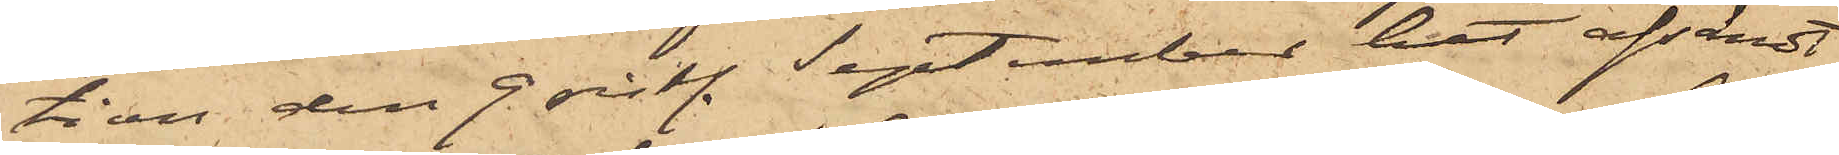tion den 9 sist. September hit afsändt
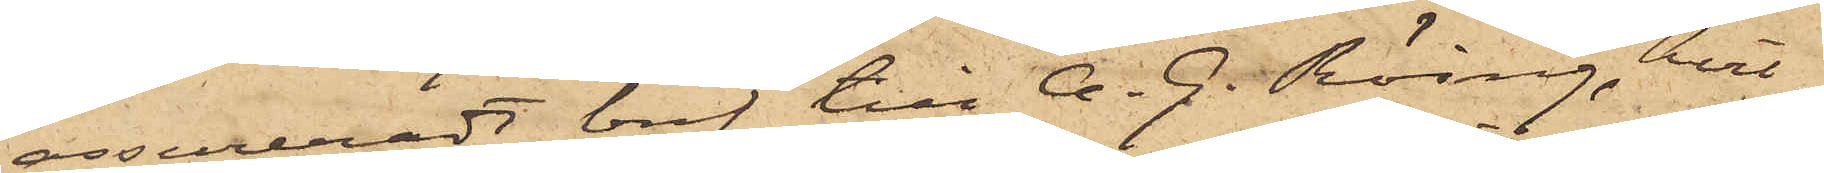assureradt bref till A. G. Röing, hvil¬
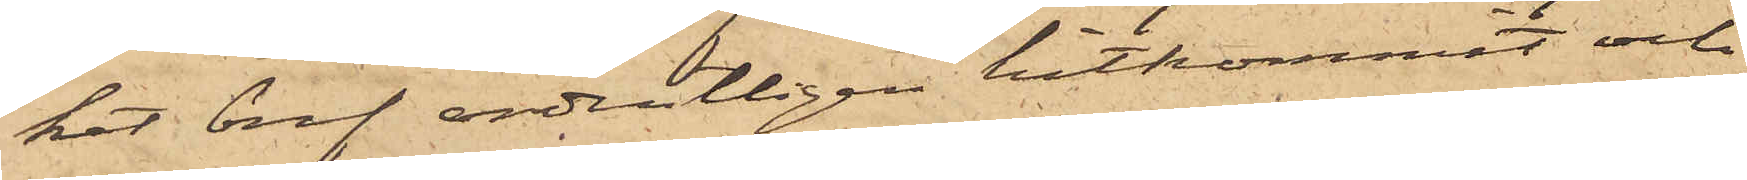ket bref ordentligen hitkommit och
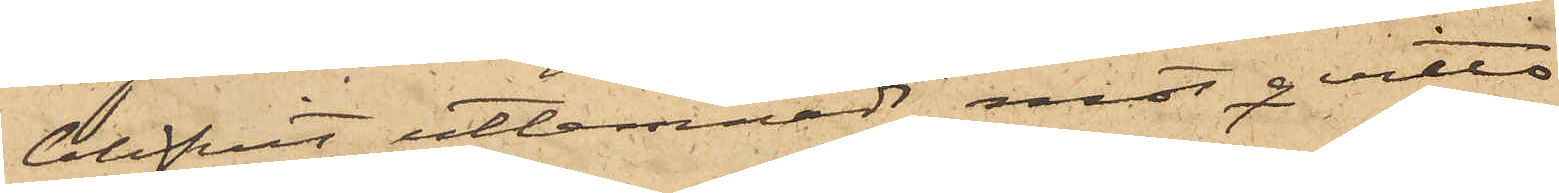blifvit utlemnadt mot qvitto
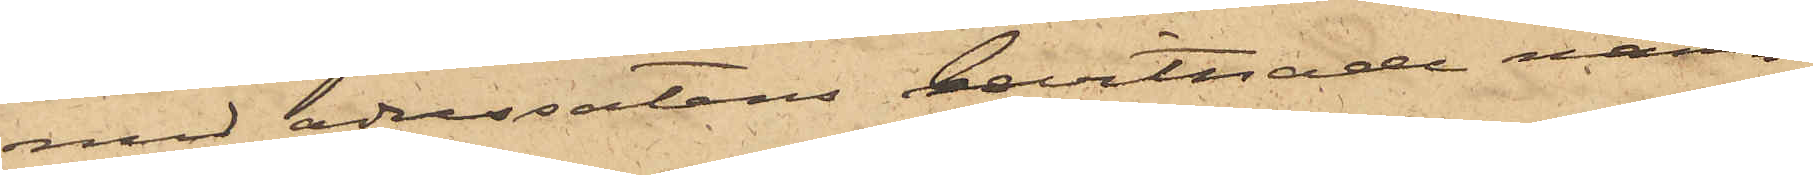med adressatens bevittnade namn¬
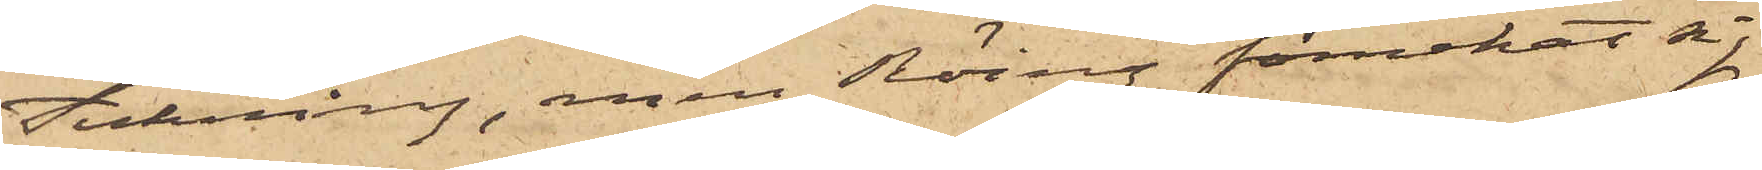teckning, som Röing förnekat sig
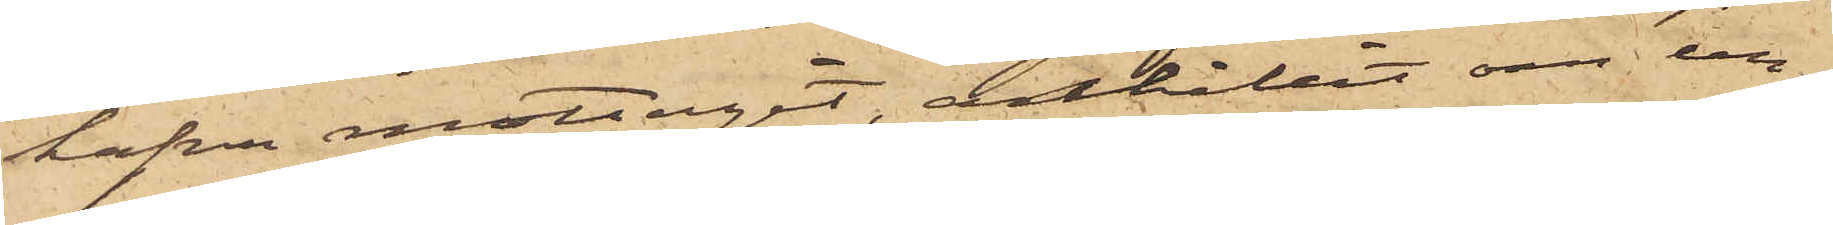hafva mottagit, anhållit om un¬
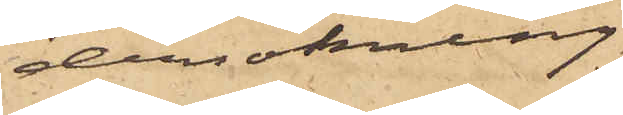dersökning
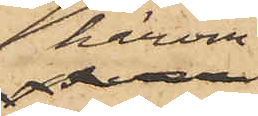härom.
